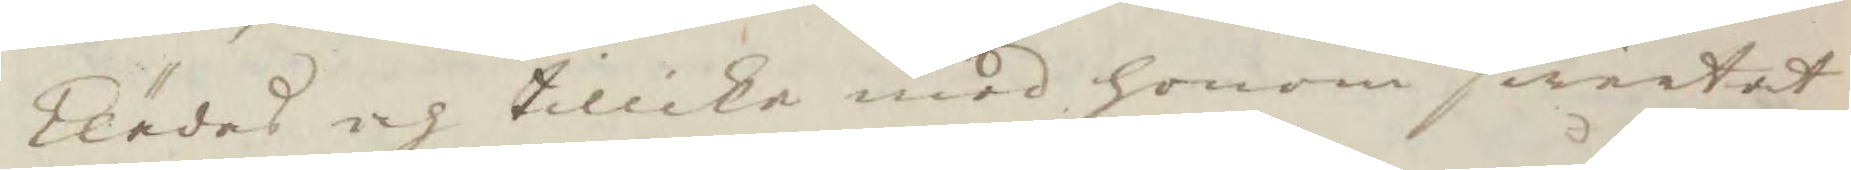klädas och tillika med honom swärtat
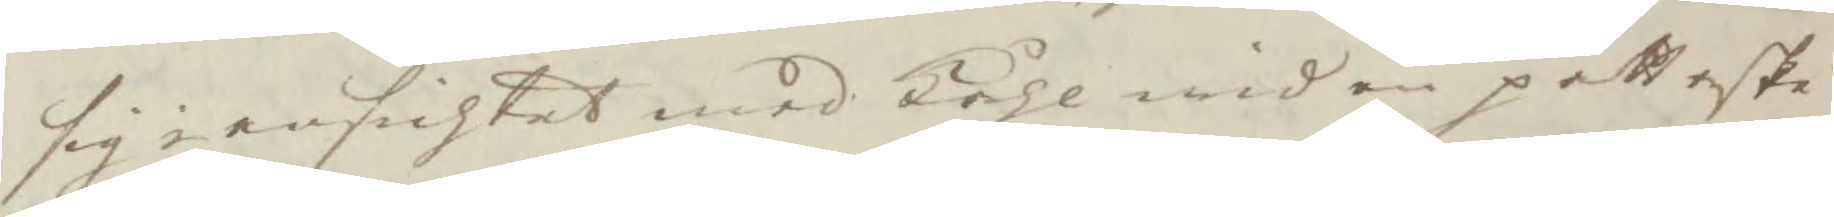sig i ansichtet med kåhl wid en påttaske¬
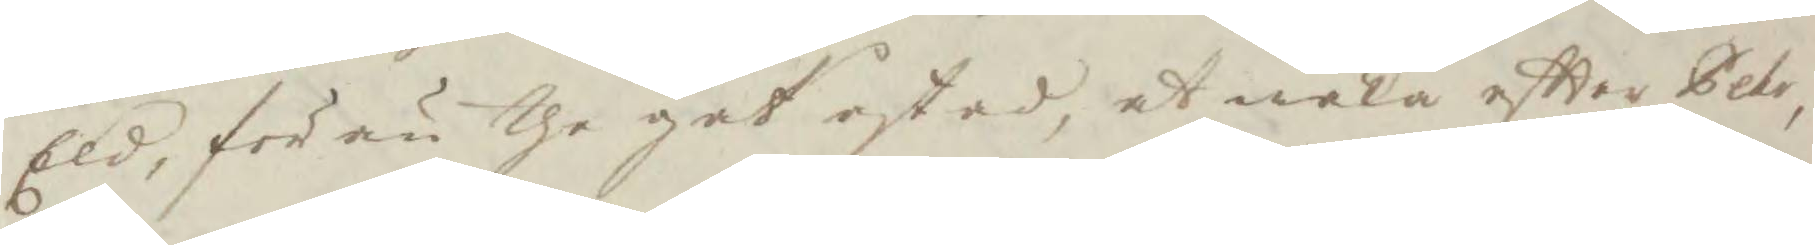Eld, för än the gåt åstad, at waka eftter Pehr,
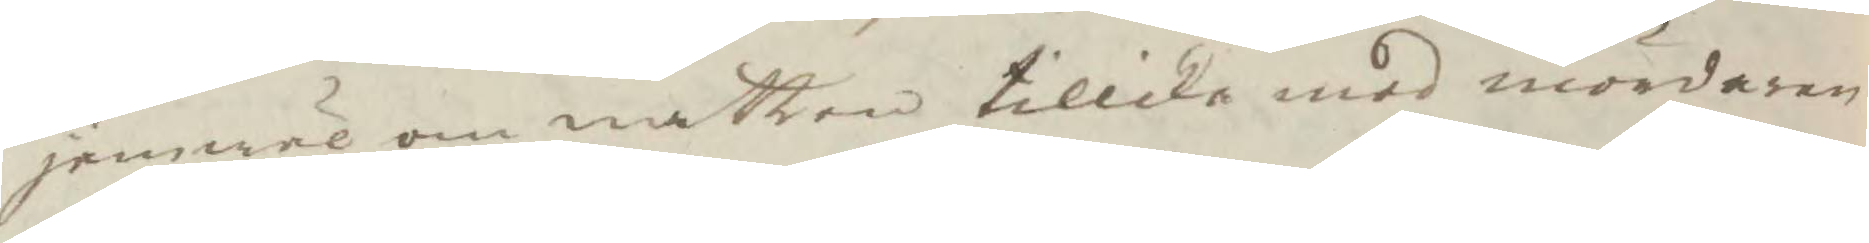jemwäl om natten tillika med mördaren
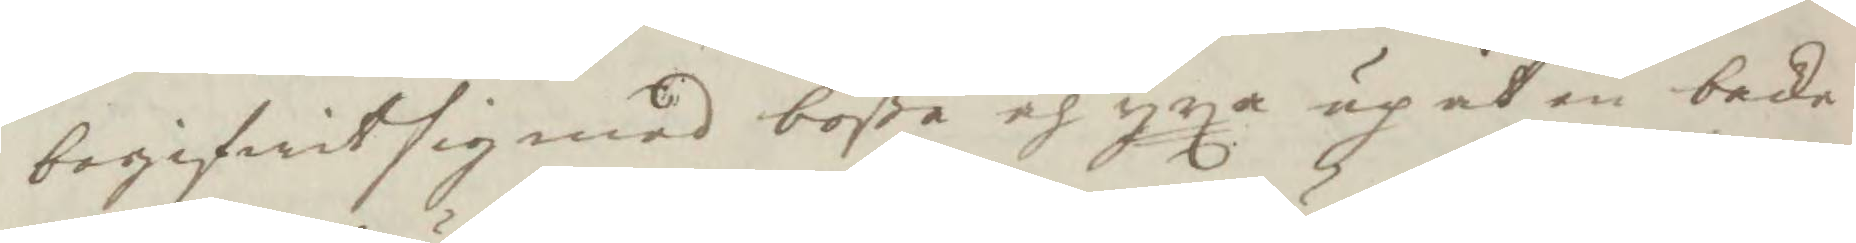begifwit sig med bößa och yxa up åt en backe
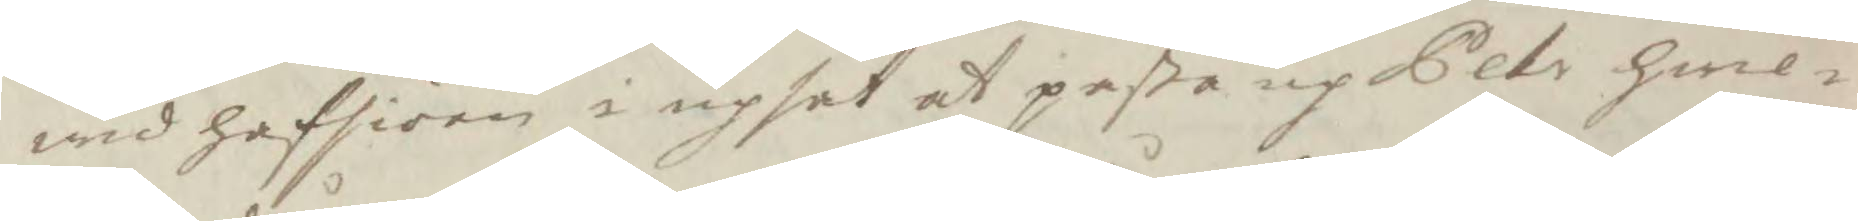wid hafsiöen i upsåt at paßa up Pehr hwil¬
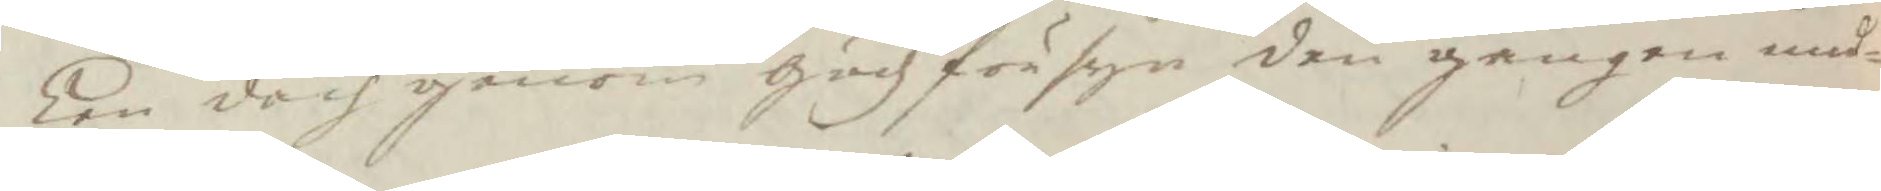ken doch genom gudz försyn den gången und¬
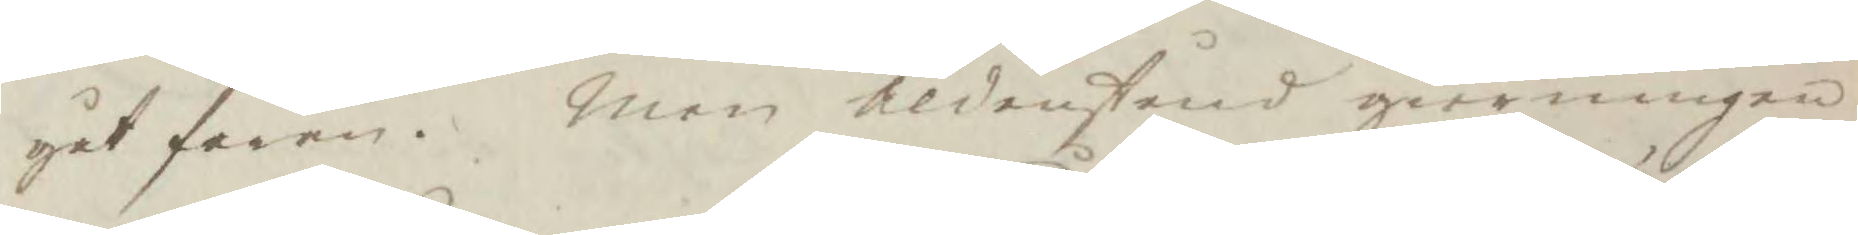gåt faran. Men Aldenstund gierningen
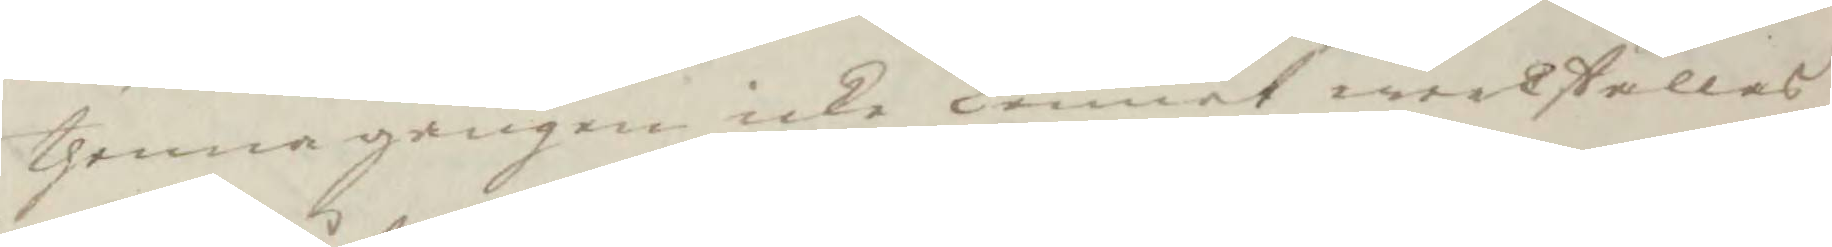thenna gången icke kunnat werkställas,
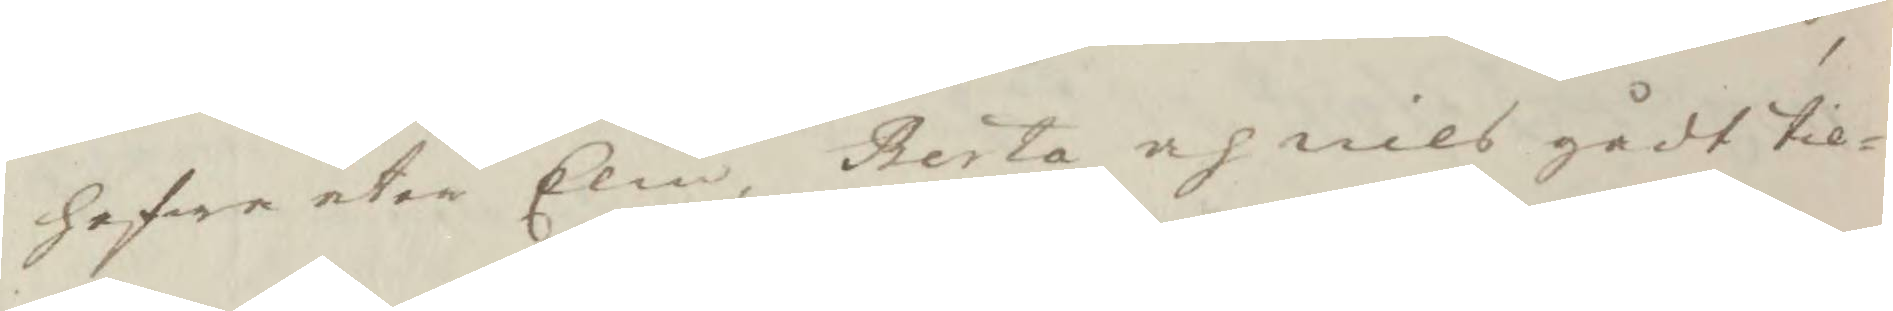hafwer åter Elin, Berta och nils gådt til¬
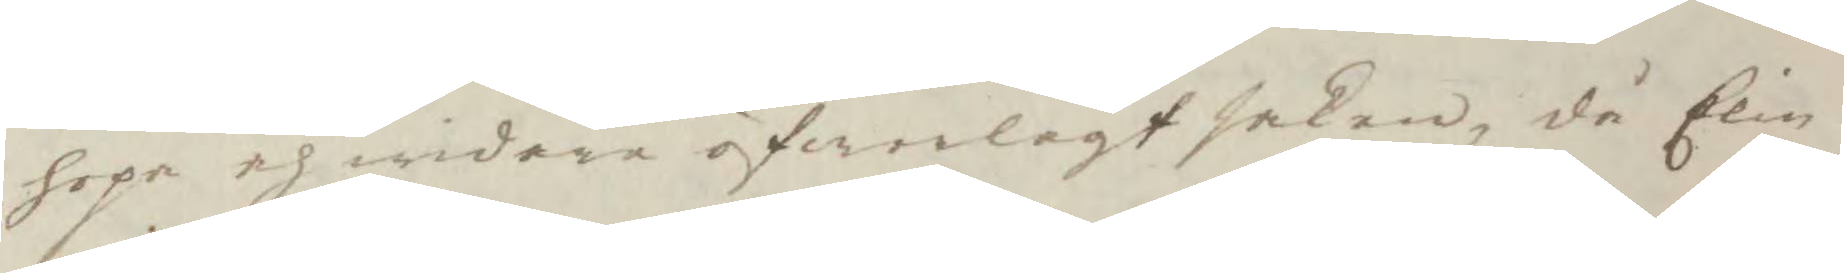hopa och widare öfwerlagt saken, då Elin
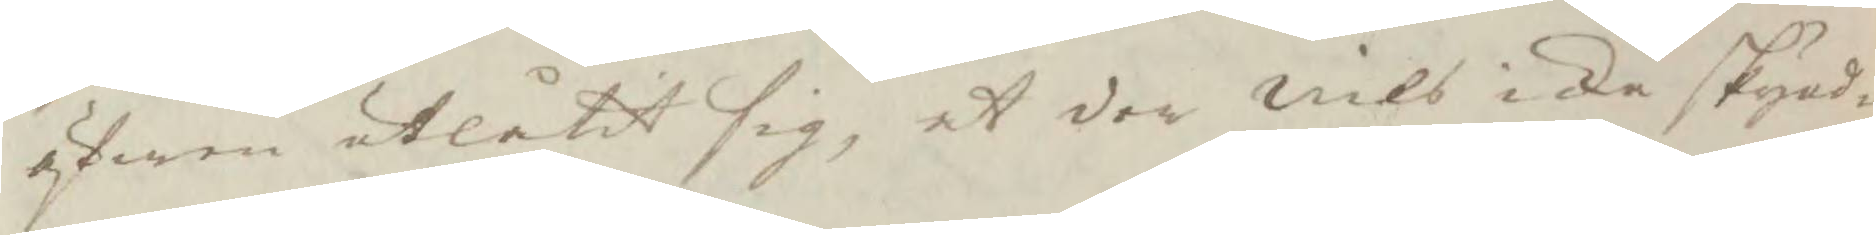äfwen utlåtit sig, at der Nils icke skynd¬
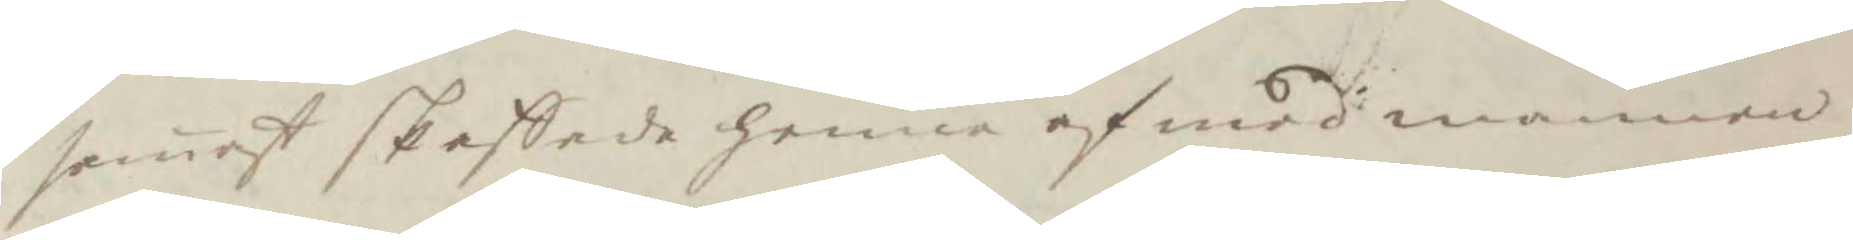samast skaffade henne af med mannen
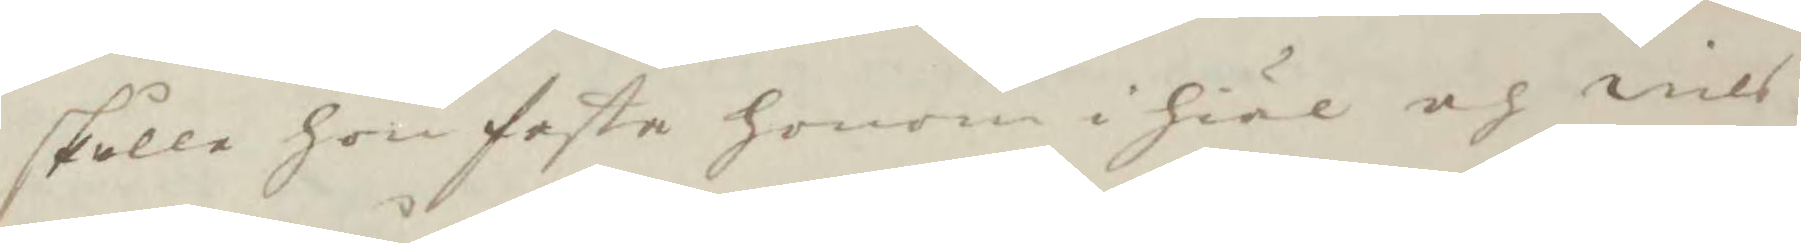skulle hon festa honom i hiäl och nils
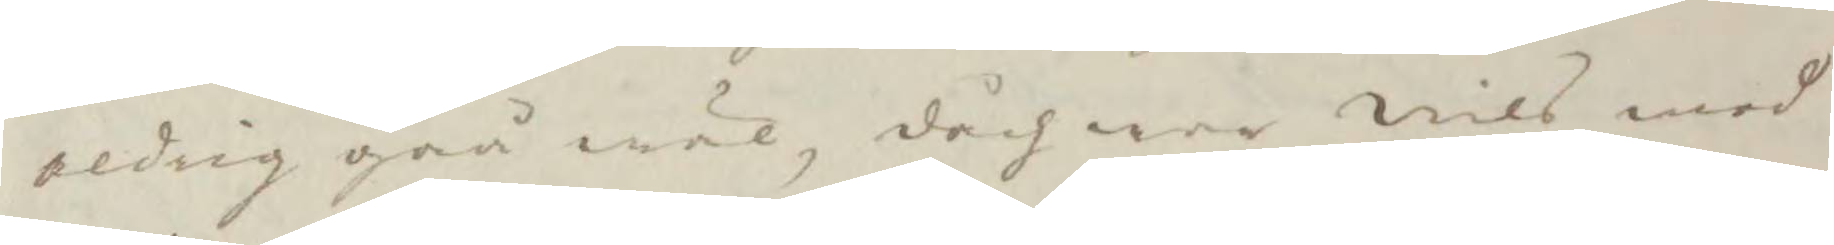aldig gåå wäl, dåch war Nils med
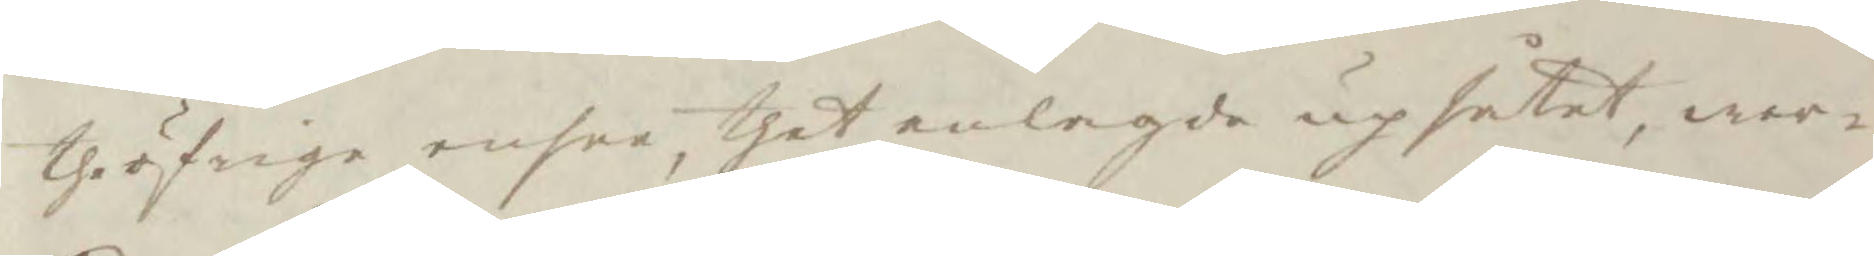the öfrige ensee, thet anlagde upsåtet, wer¬
